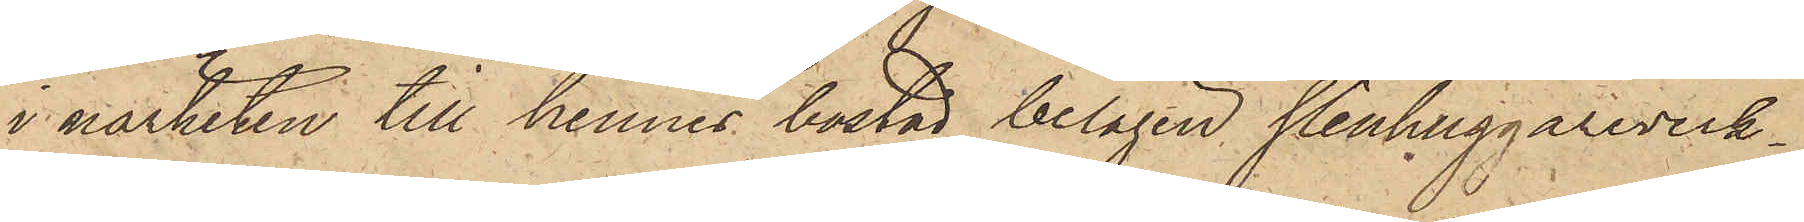i närheten till hennes bostad belägen stenhuggareverk¬
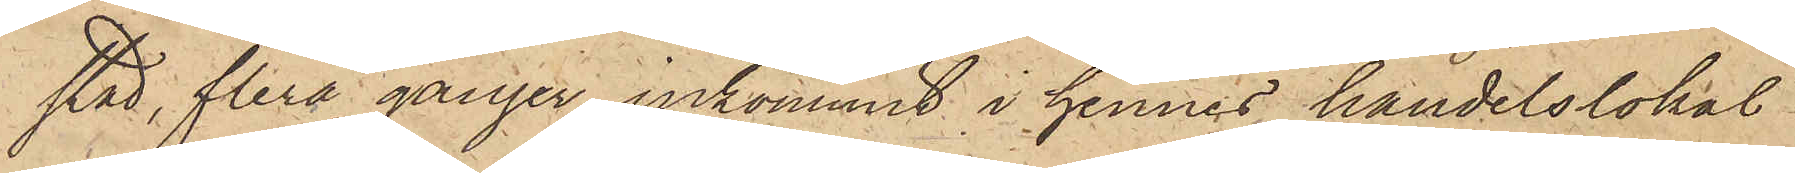stad, flera gånger inkommit i hennes handelslokal
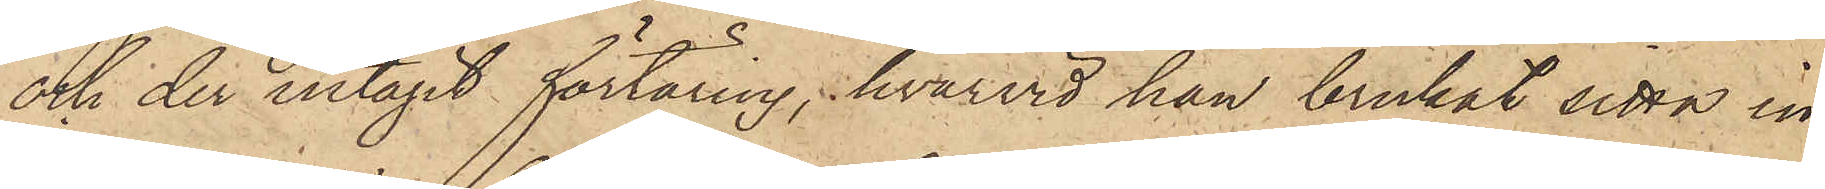och der intagit förtäring, hvarvid han brukat sitta in¬
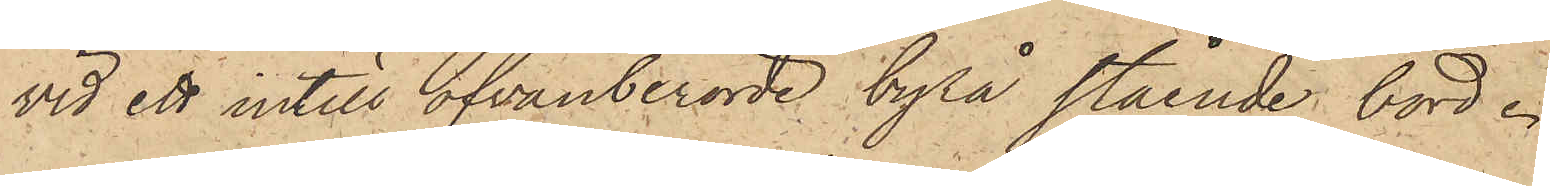vid ett intill ofvanberörde byrå stående bord.
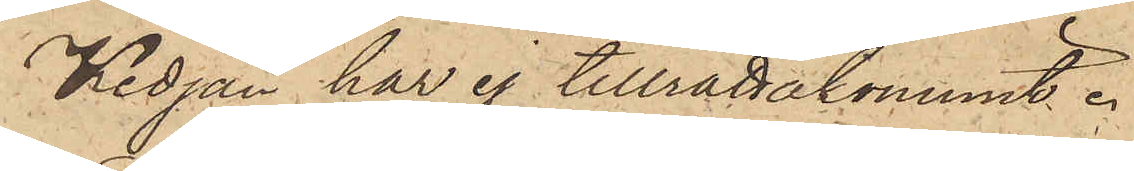Kedjan har ej tillrättakommit.
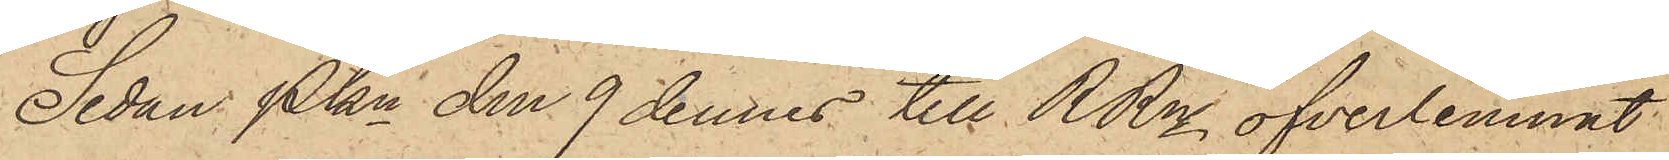Sedan Pkn den 9 dennes till RRn öfverlemnat
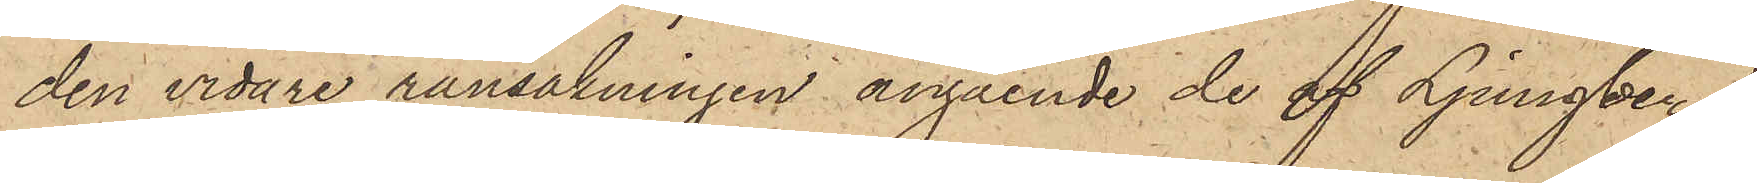den vidare ransakningen angående de af Ljungberg
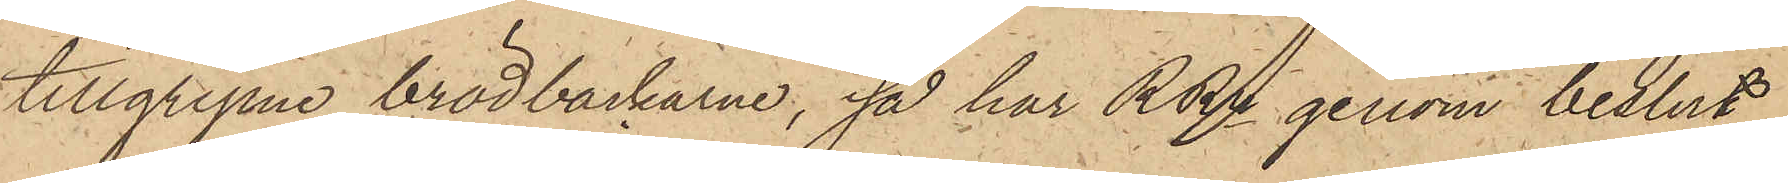tillgripne brödbackarne, så har RRn genom beslut
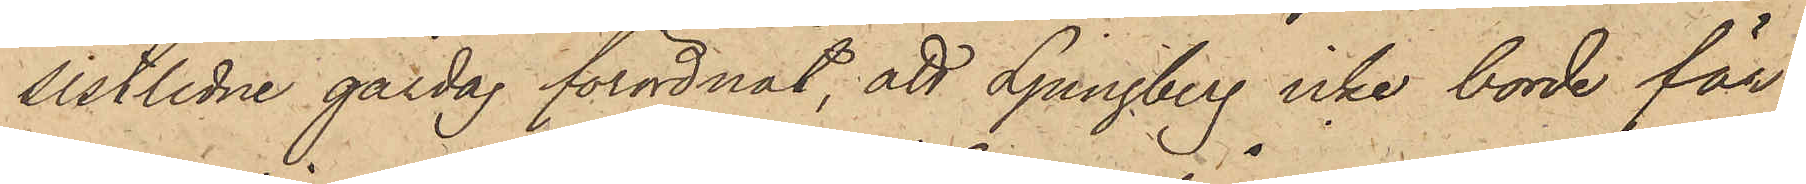sistlidne gårdag förordnat, att Ljungberg icke borde för
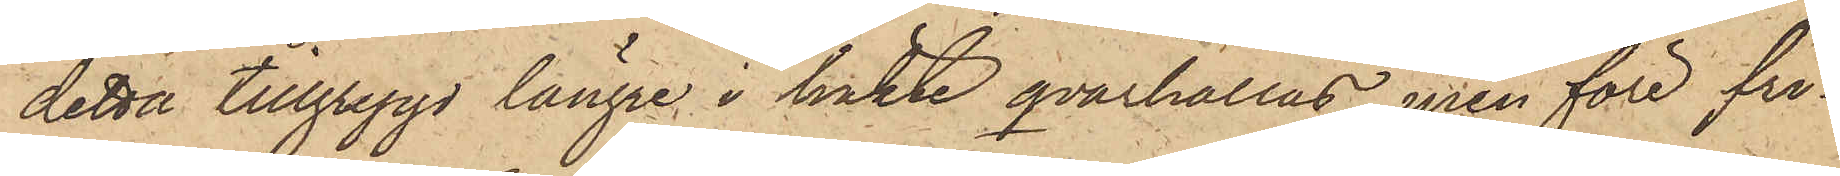detta tillgrepp längre i häkte qvarhållas, men före fri¬
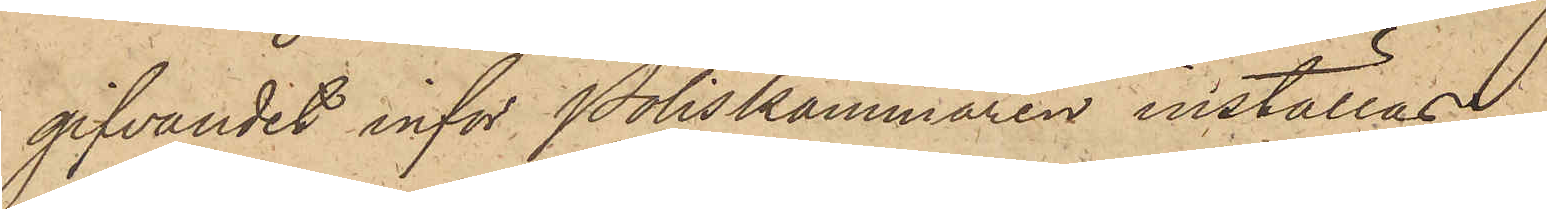gifvandet inför Poliskammaren inställas.
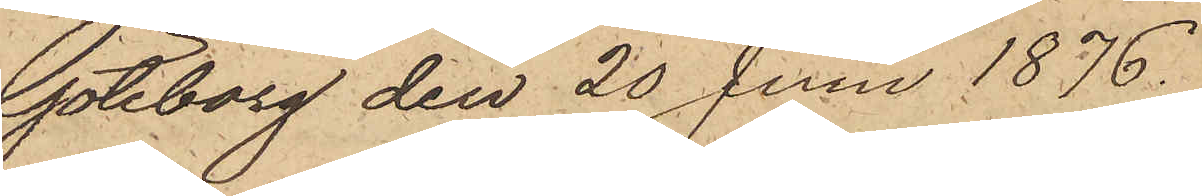Göteborg den 20 Juni 1876.
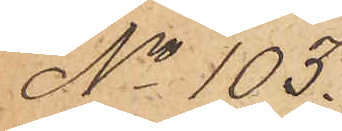No 103.
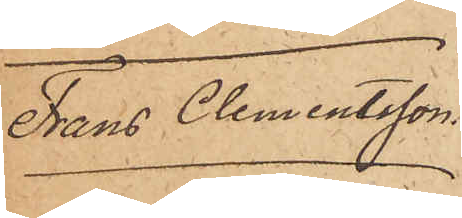Frans Clementsson
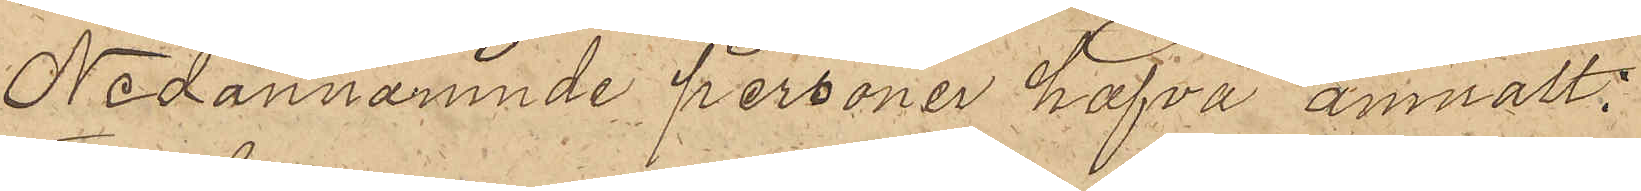Nedannämnde personer hafva anmält:
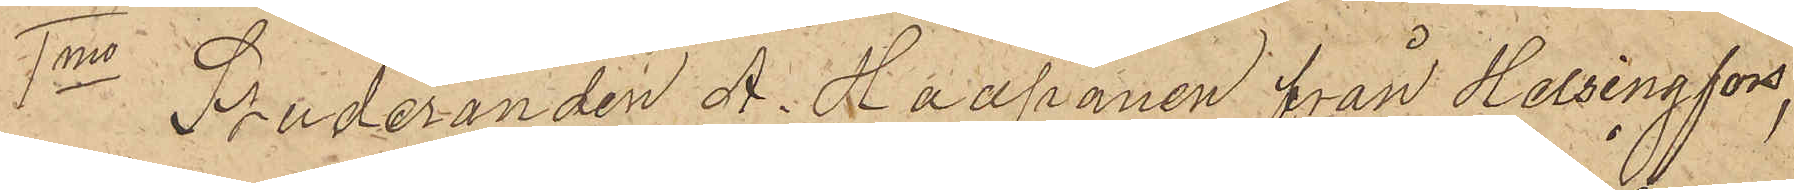1o Studeranden A. Haapanen från Helsingfors,
